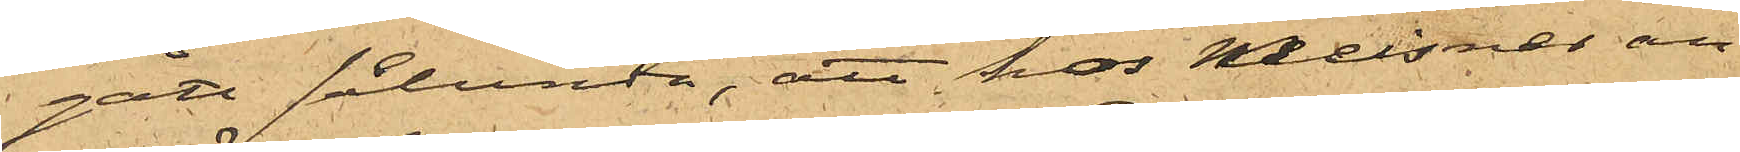gått sålunda, att hos Meissner an¬
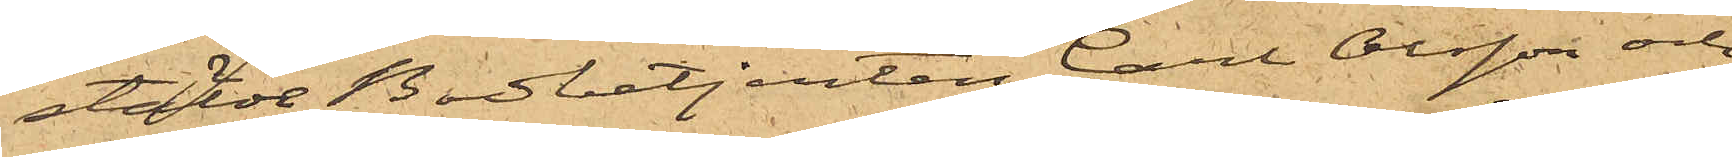stälde bodbetjenten Carl Olsson och
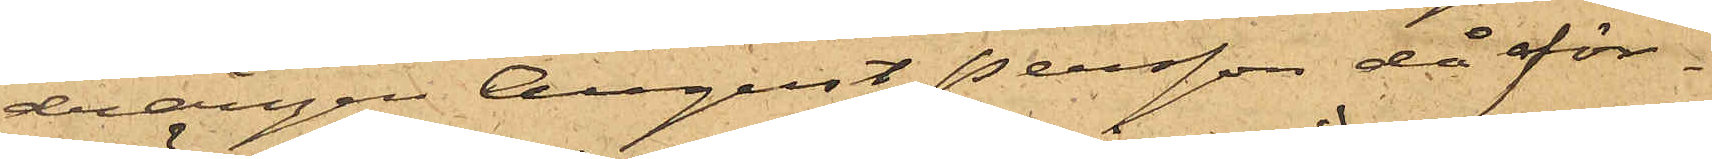drängen August Persson då för¬
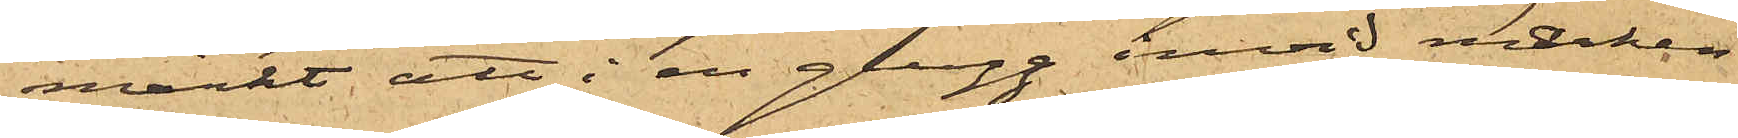märkt, att i en glugg invid marken
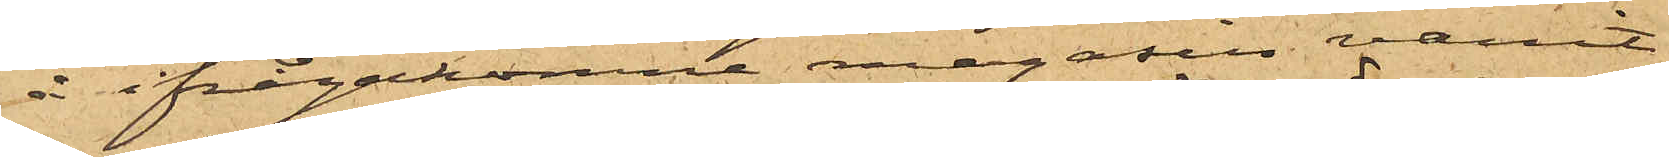å ifrågakomne magasin varit
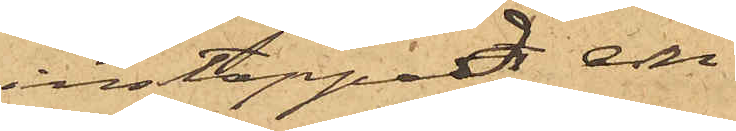instoppad en mängd
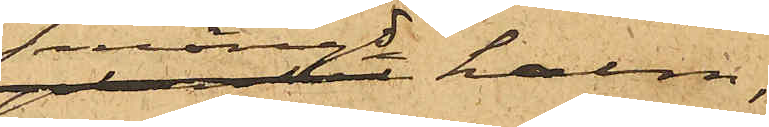halm,
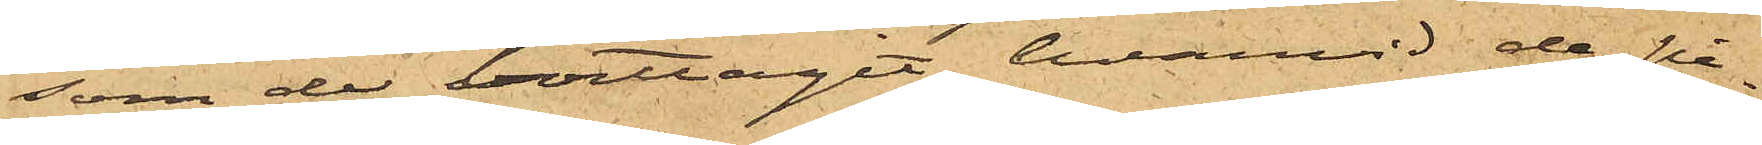som de borttagit, hvarvid de på¬
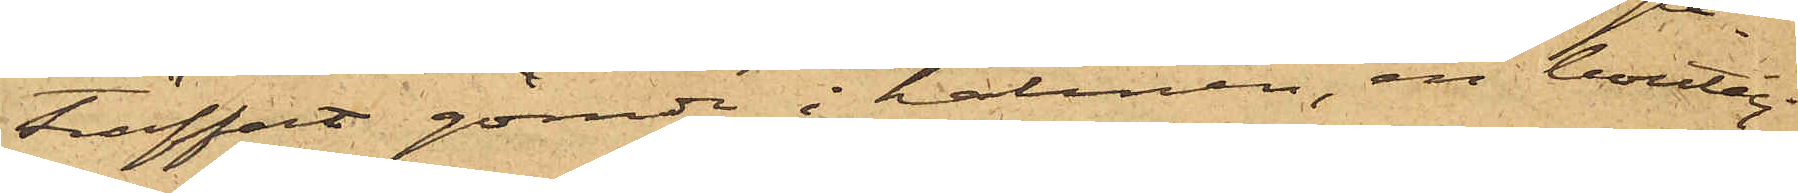träffadt gömde i halmen, en boutelj
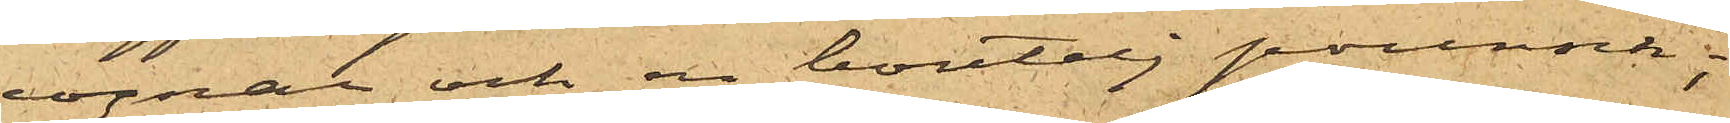cognac och en boutelj punsch;
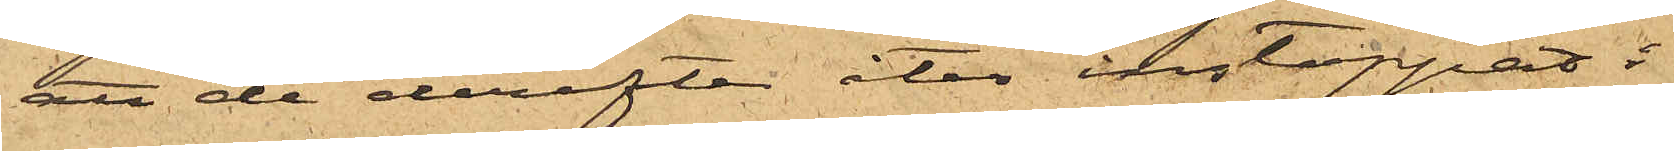att de derefter åter instoppat i
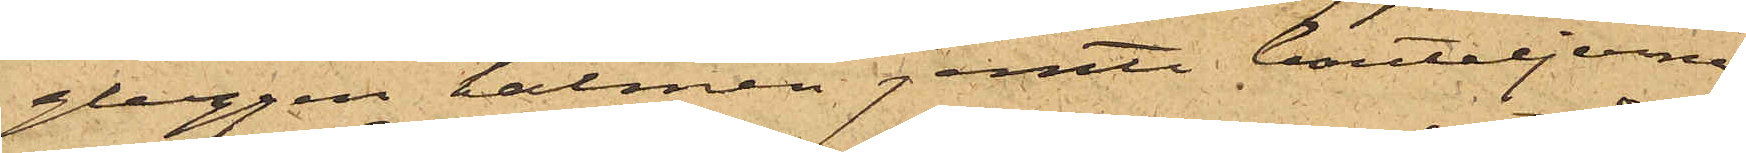gluggen halmen jemte bouteljerna
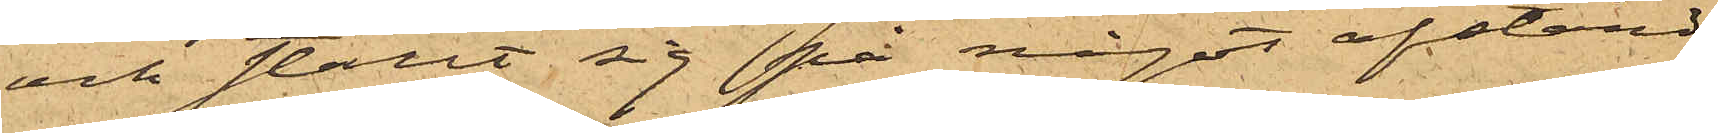och ställt sig på något afstånd
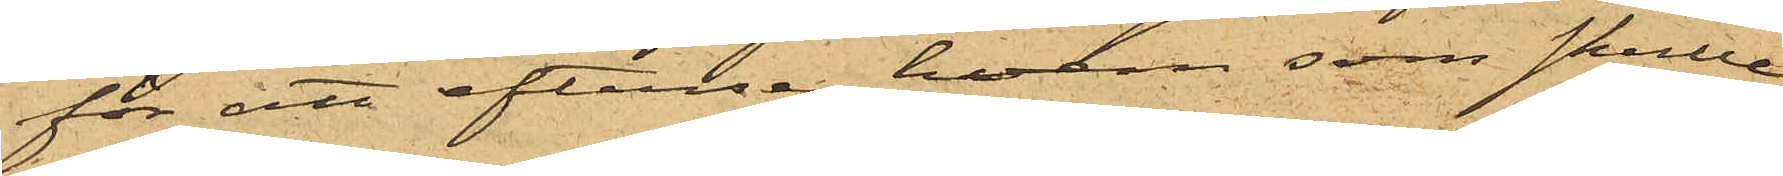för att efterse hvem som skulle
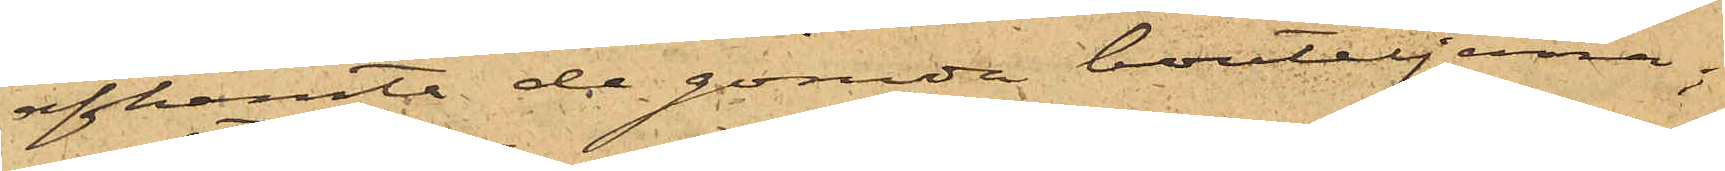afhemta de gömde bouteljerna;
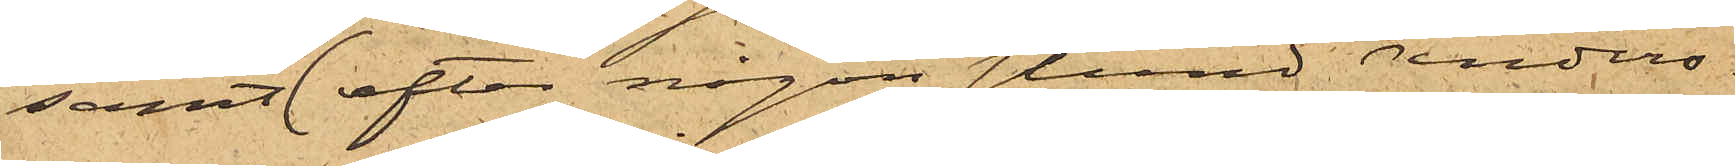samt att efter någon stund Anders¬
